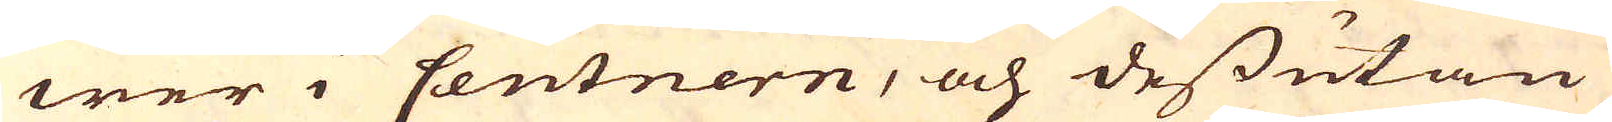wer i Centnern, och dessutan
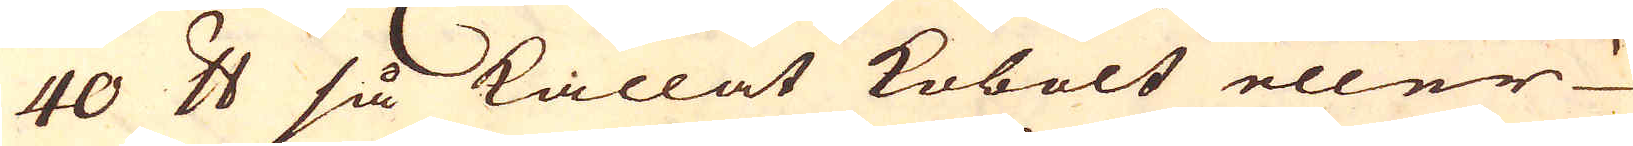40 skålpund så kallat kobolt eller
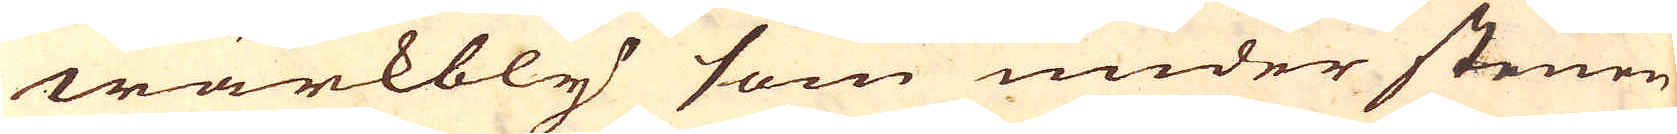wärkbly som under stenen
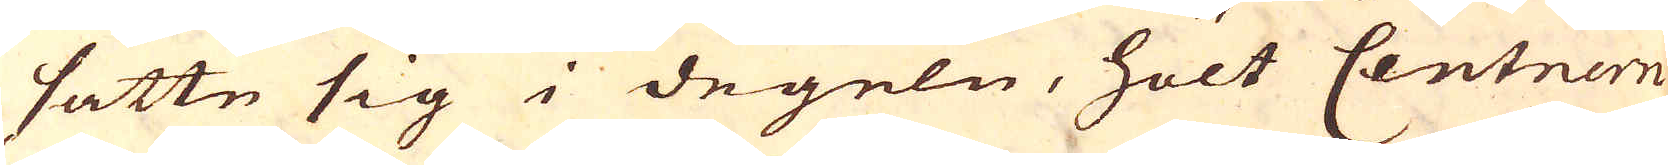satte sig i degeln, hölt Centnern
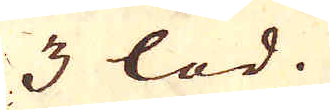3 lod.
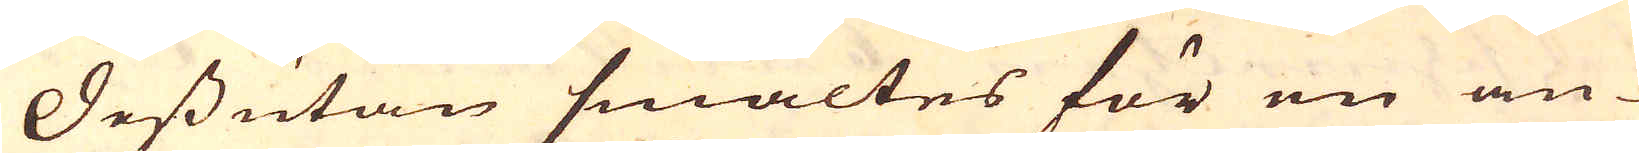Dessutan smältes för en an-
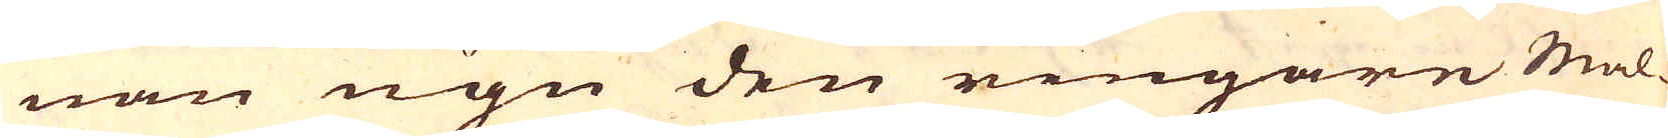nan ugn den ringare Mal-
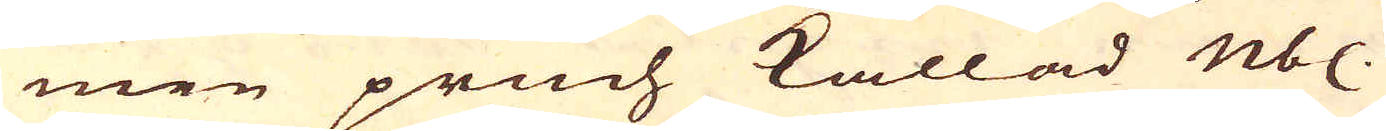men pruch kallad nb.
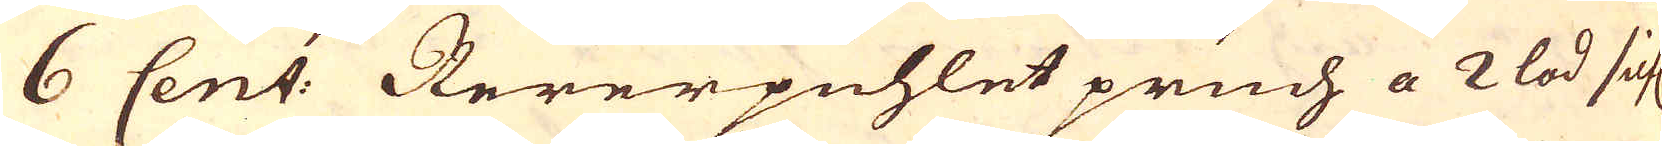6 Cent: Rererpuhlet pruch a 2 lod silf.
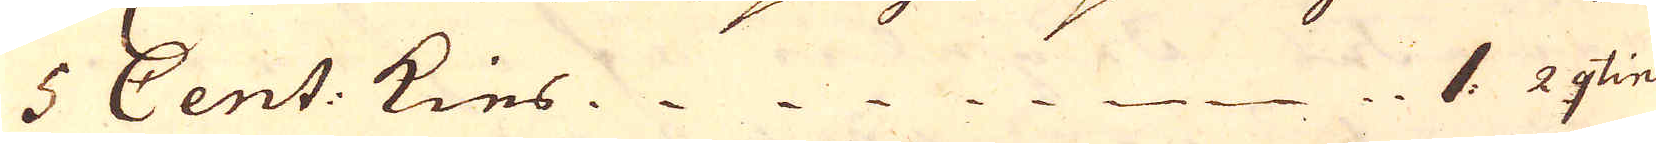5 Cent: Kies 1: 2 qtin
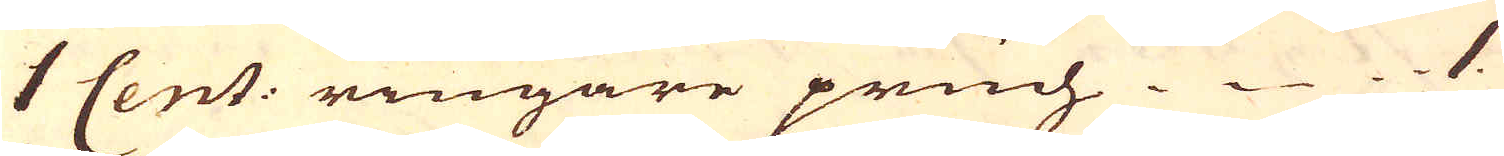1 Cent: ringare pruch 1.
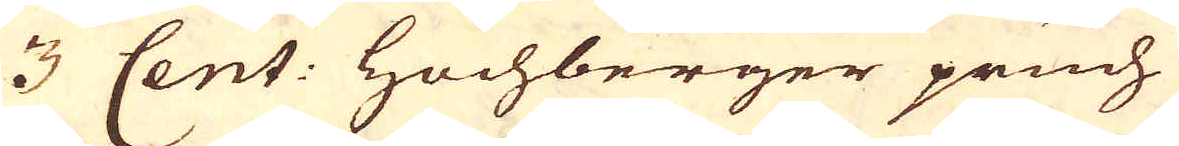3 Cent: Hochberger pruch
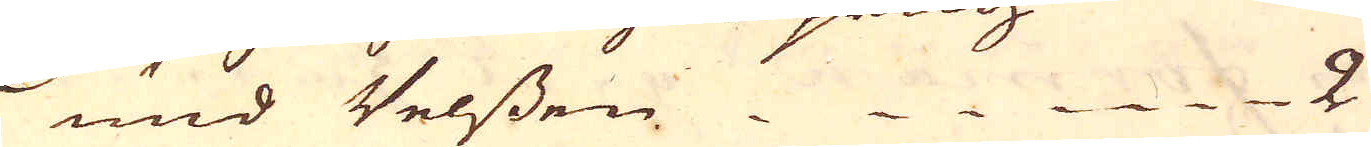und Velssen  2
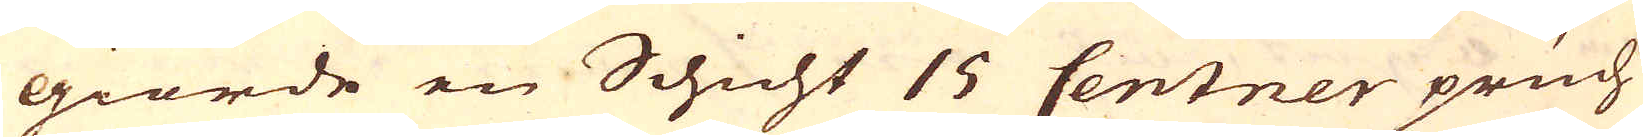giorde en Schicht 15 Centner pruch
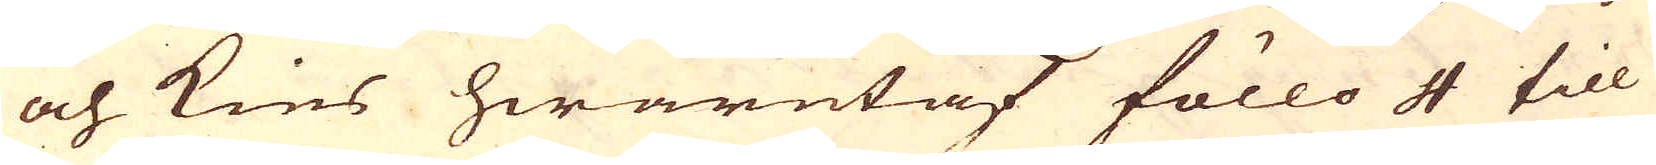och Kies hwarutaf föllo 4 till
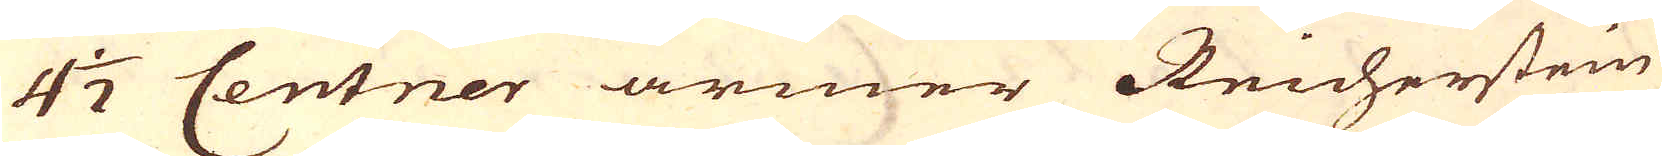4 1/2 Centner armer Reicherstein
